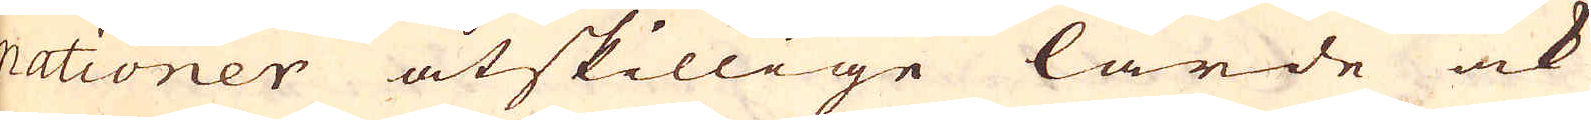nationer åtskillige lärde ock
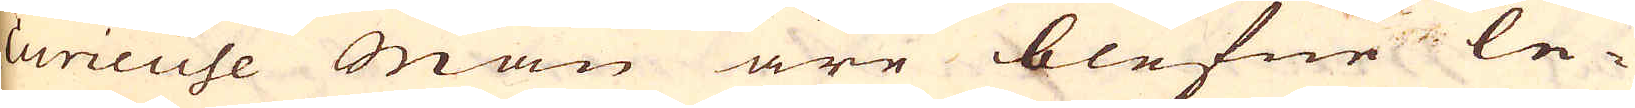curieuse män äre blefne le-
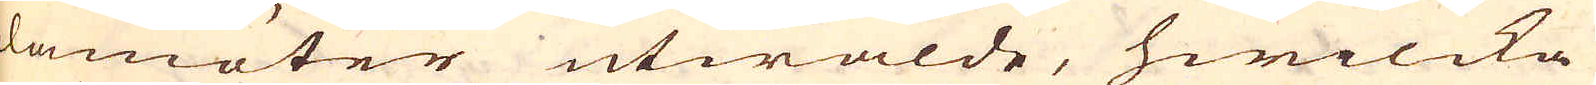damöter utwalde, hwilcka
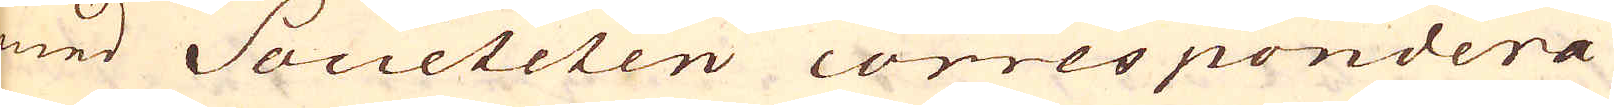med Societeten correspondera
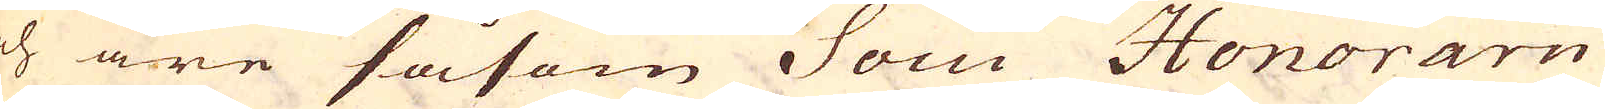och äre såsom Socii Honorarii
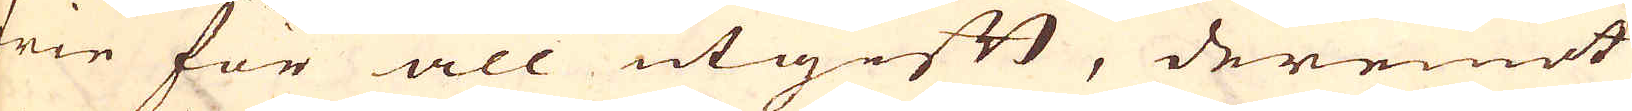frie för all utgift, deremot
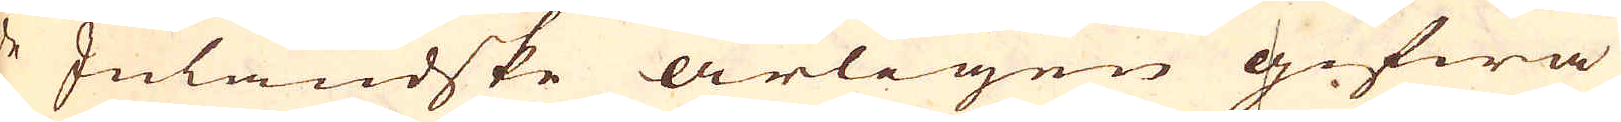de Inländske årligen gifwa
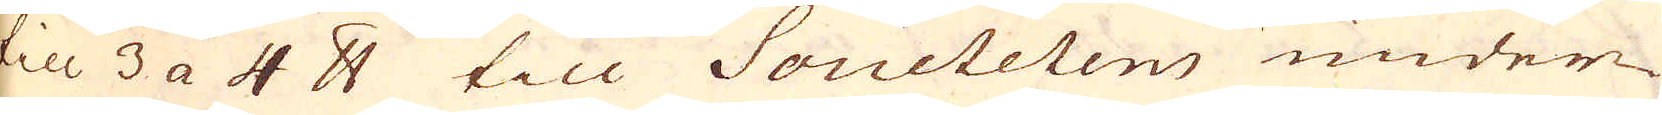till 3 a 4 pund till Societeten under-
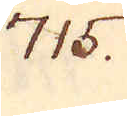715.
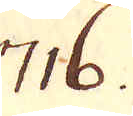716.
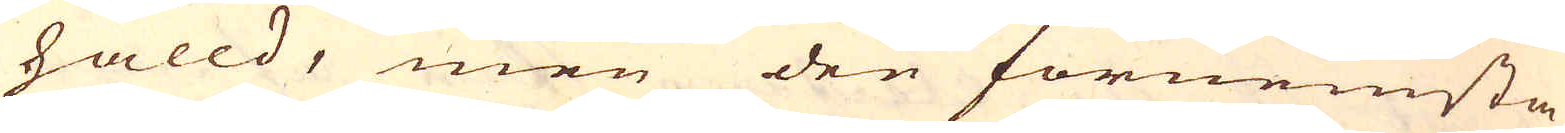hålld, men den förnemsta
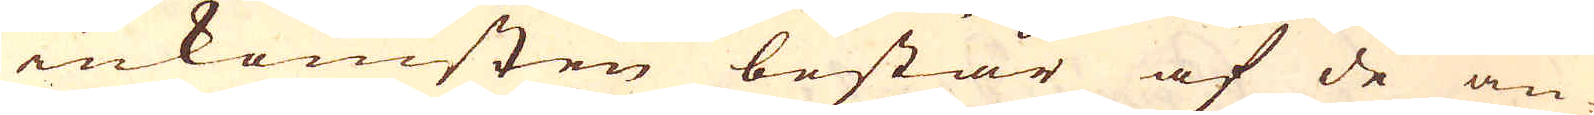inkomsten består af de an-
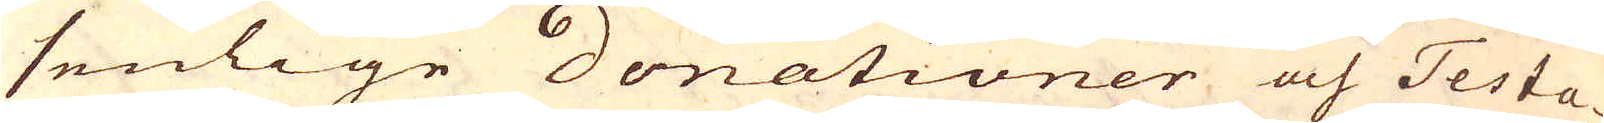senlige Donationer och Testa-
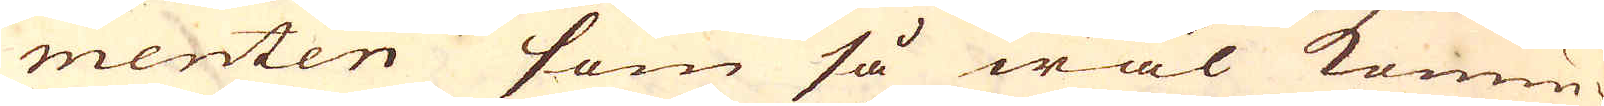menten som så wäl Konun-
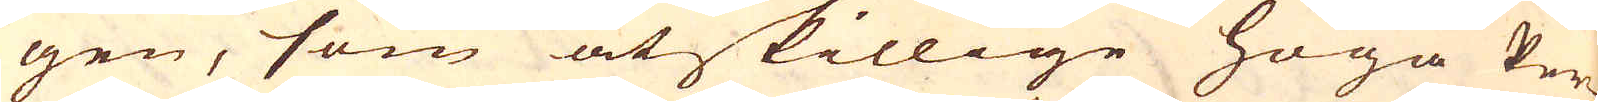gen, som åtskillige höga Per-
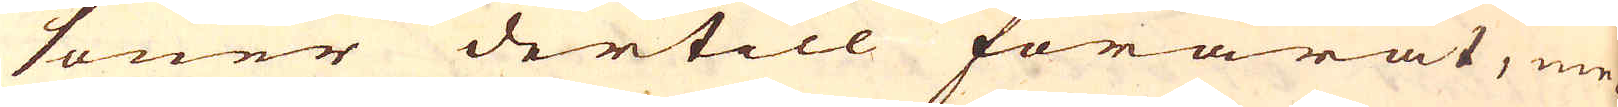soner dertill förärat, me-
